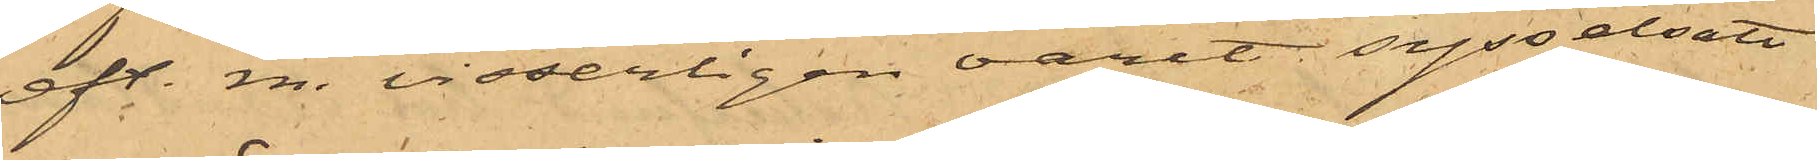eft. m. visserligen varit sysselsatt
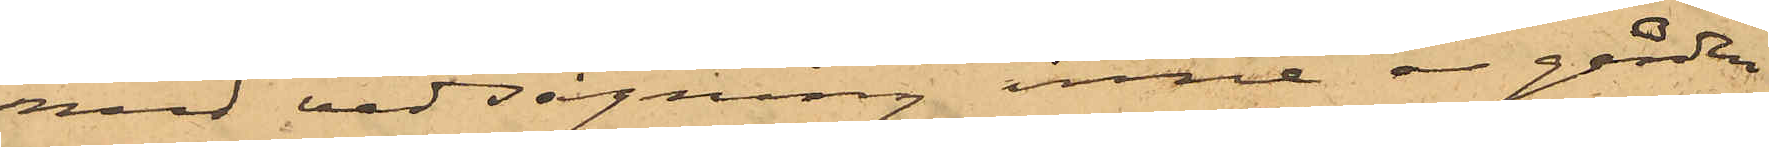med vedsågning inne å gården
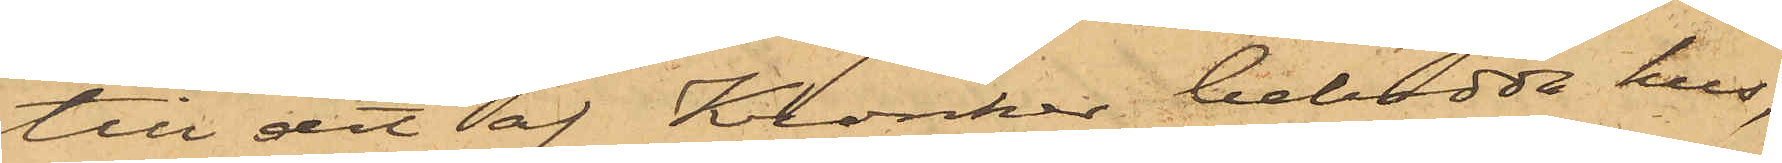till det af Kronker bebodda hus,
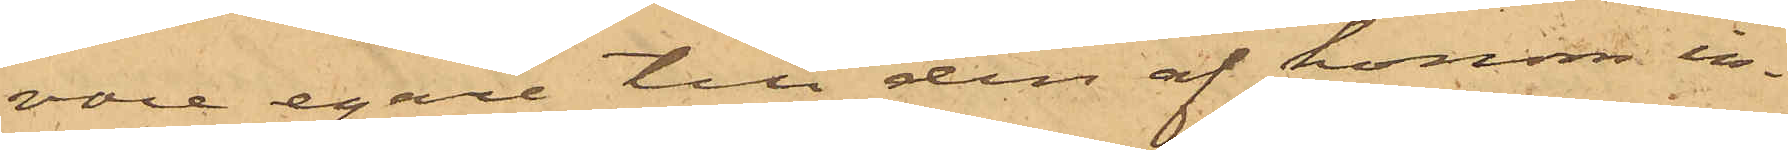vore egare till den af honom in¬
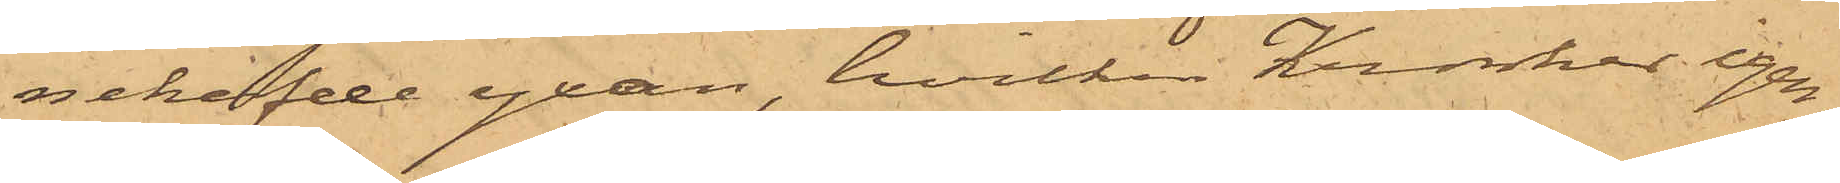nehafde yxan, hvilken Kronker igen¬
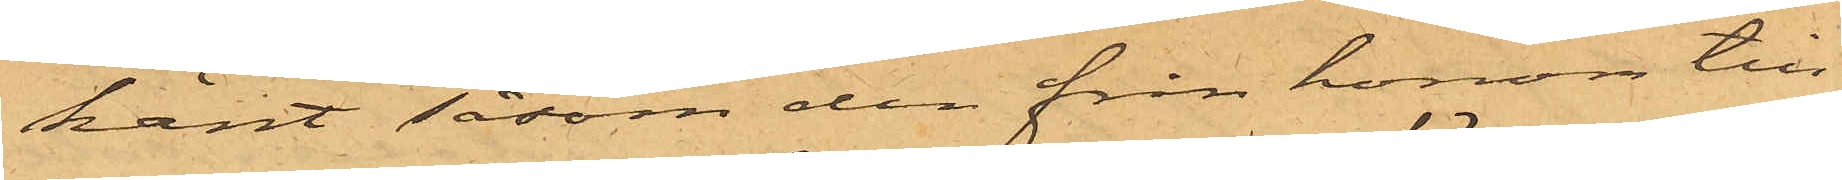känt såsom den från honom till¬
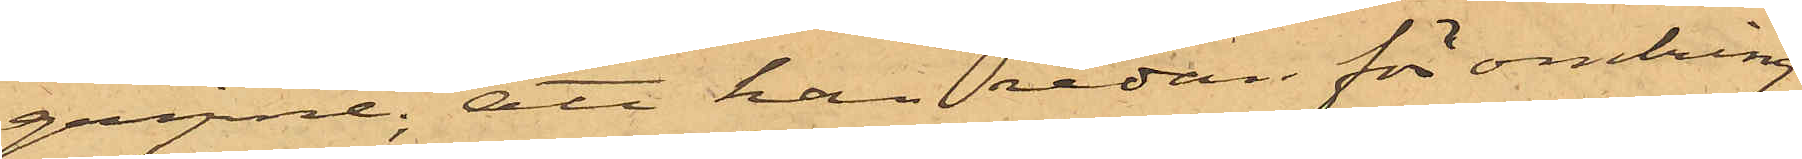gripne; att han redan för omkring
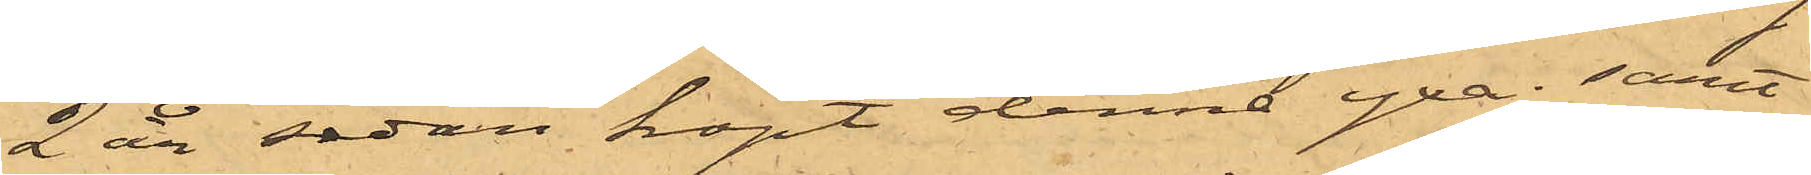2 år sedan köpt denna yxa; samt
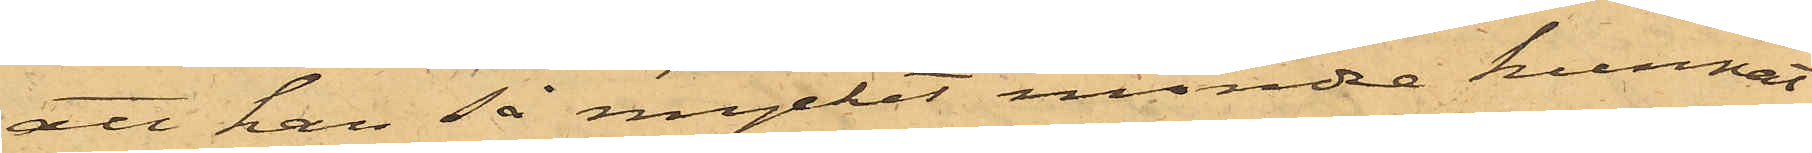att han så mycket mindre kunnat
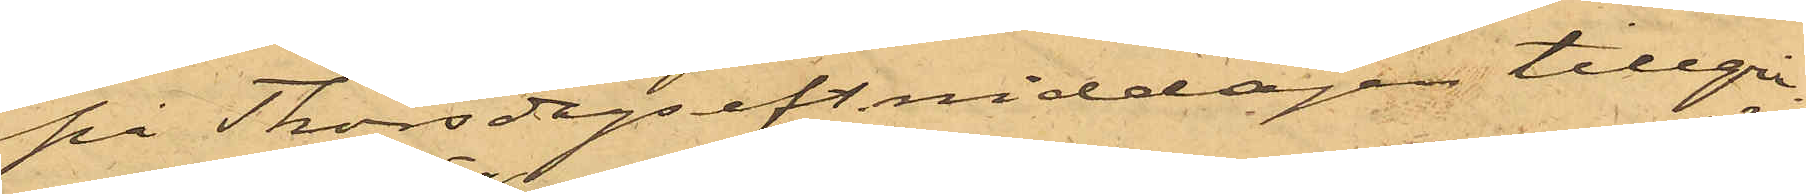på Thorsdags eft. middagen tillgri¬
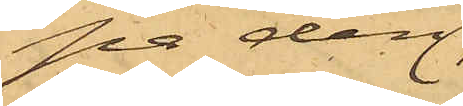pa den¬
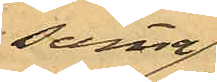samma,
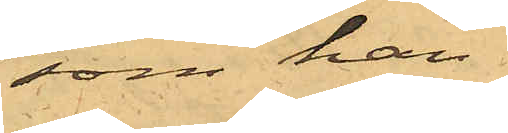som han
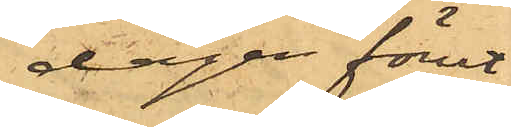dagen förut
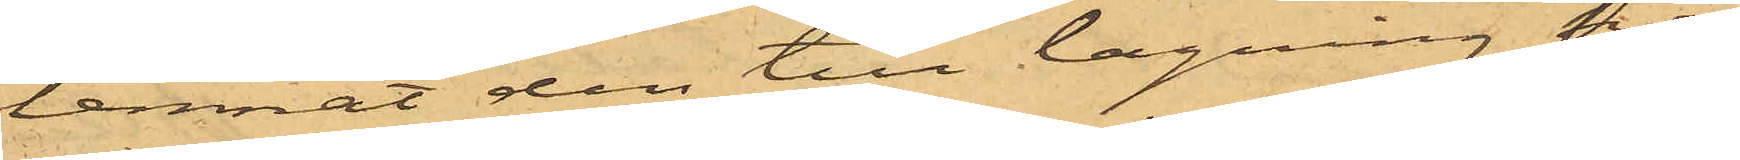lemnat den till lagning hos
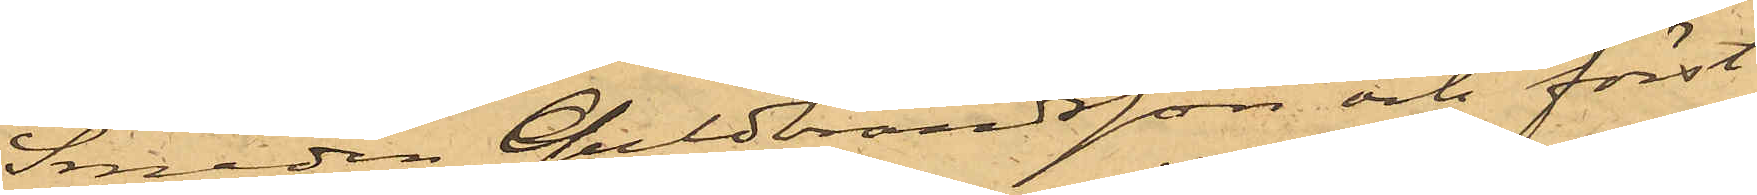Smeden Guldbrandsson och först
